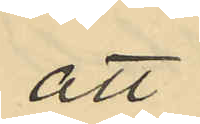att
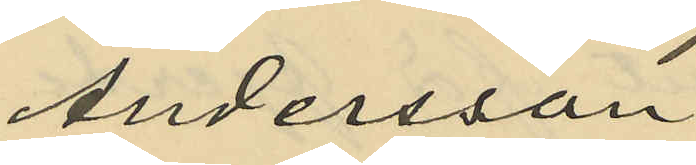Andersson
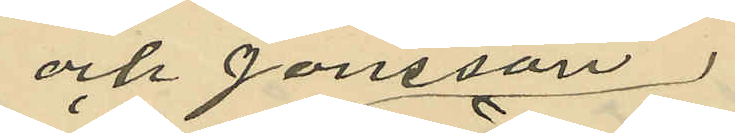och Jonsson
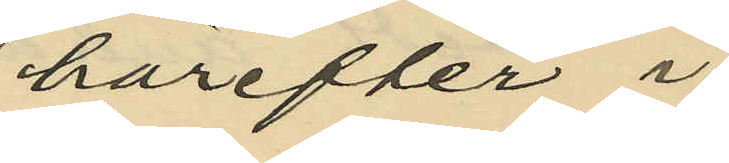härefter i
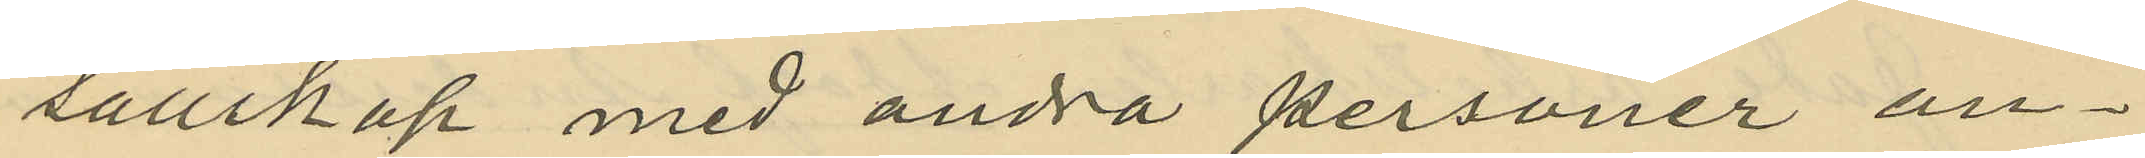sällskap med andra personer an¬
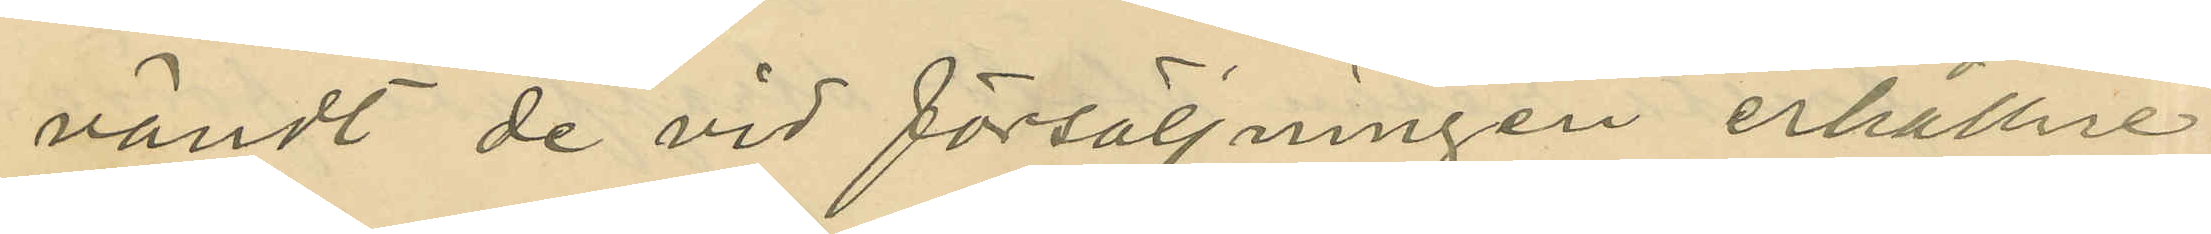vändt de vid försäljningen erhållne
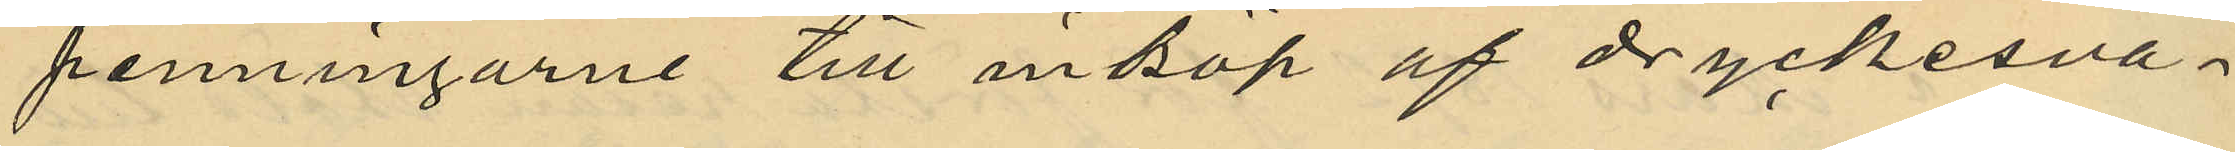penningarne till inköp af dryckesva¬
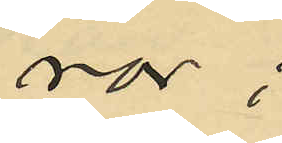ror;
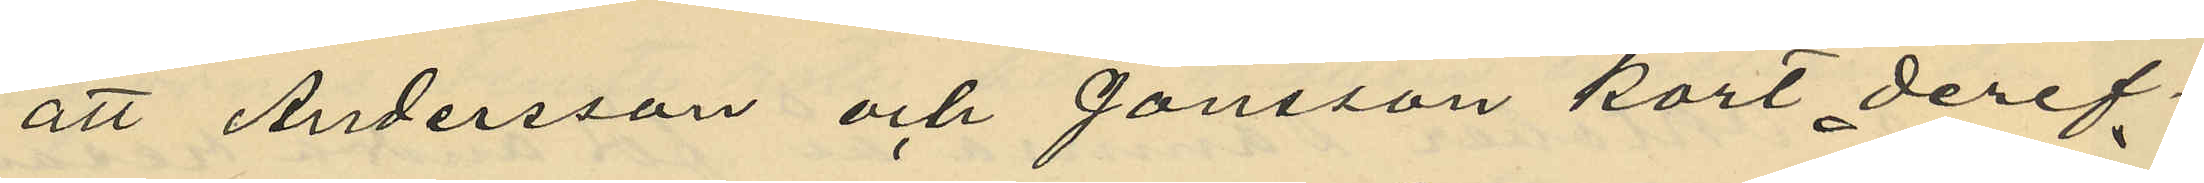att Andersson och Jansson kort deref¬
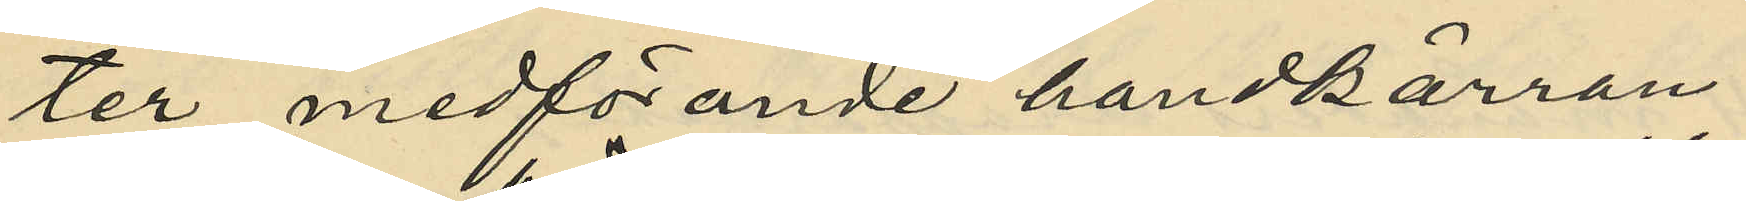ter medförande handkärran
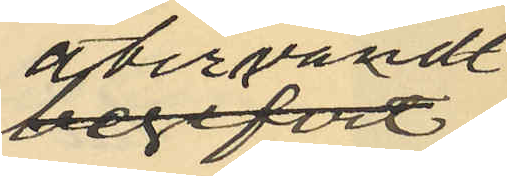återvändt
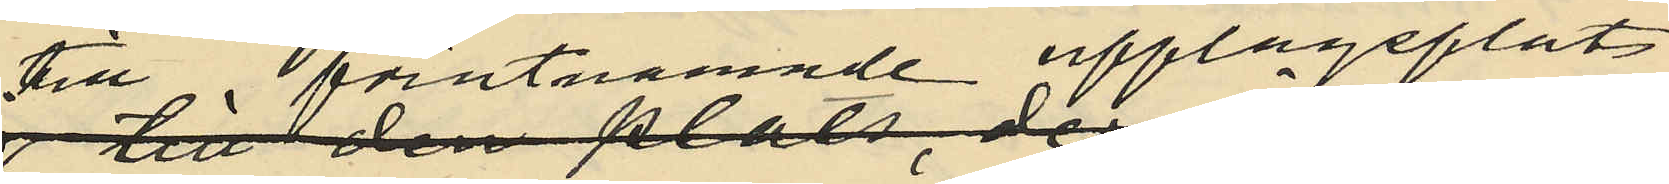till föregående uppläggsplats
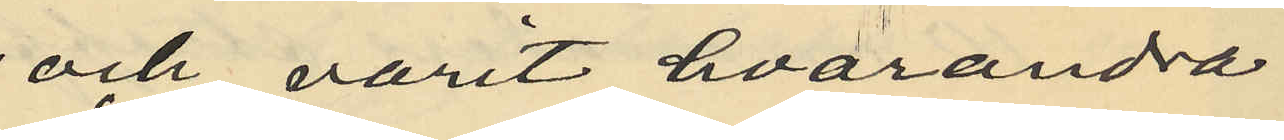och varit hvarandra
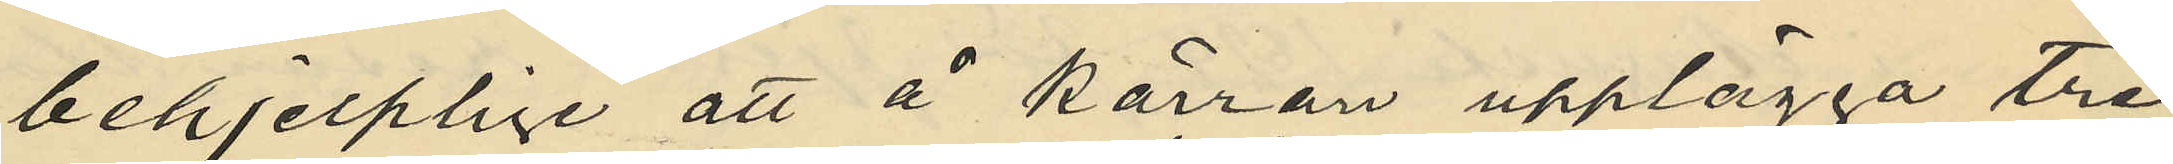behjelplige att å kärran upplägga tre
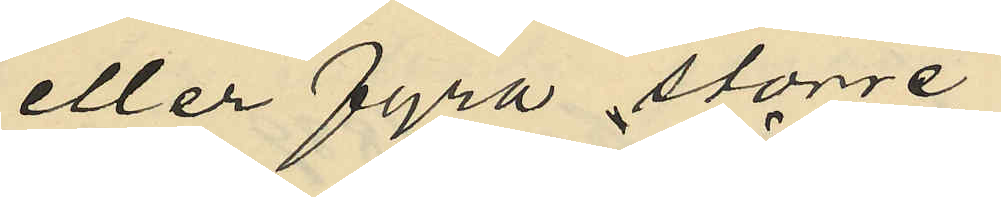eller fyra större
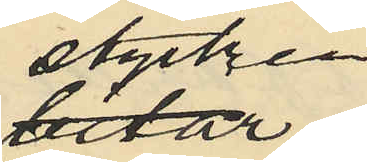stycken
